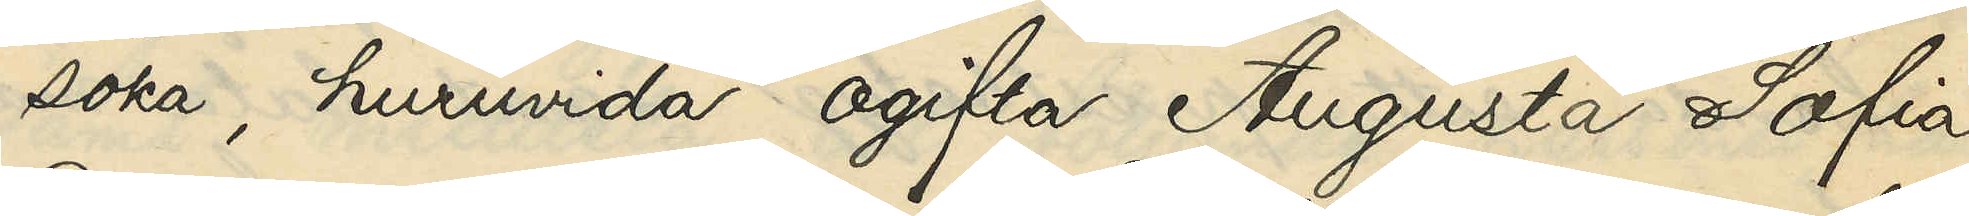söka, huruvida ogifta Augusta Sofia
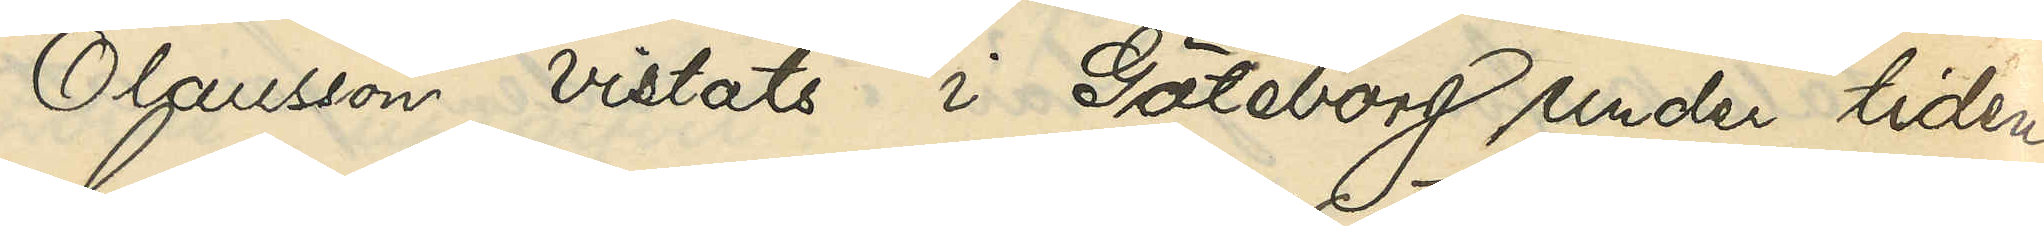Olausson vistats i Göteborg under tiden
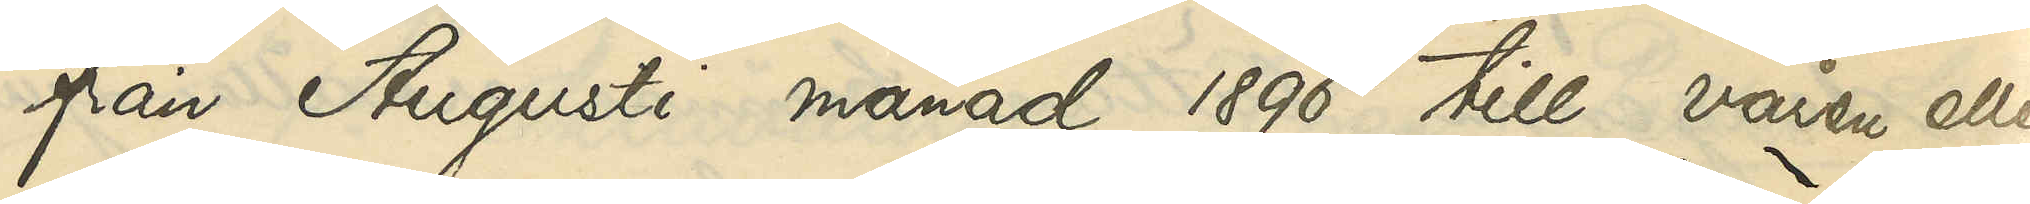från Augusti månad 1896 till våren eller
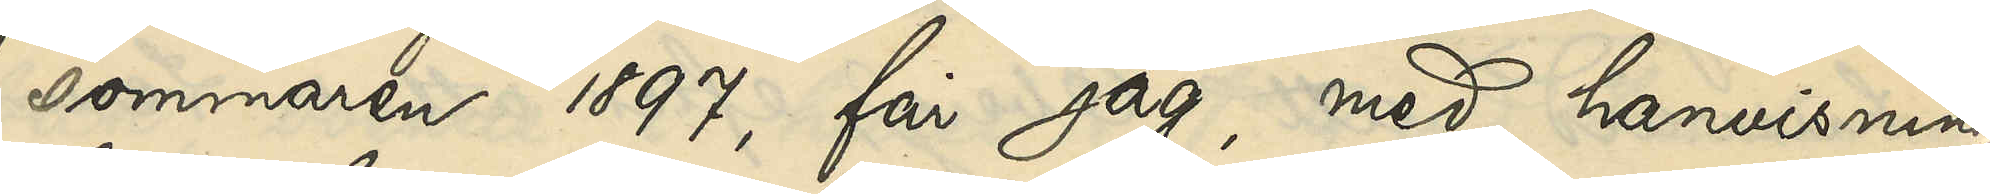sommaren 1897, får jag, med hänvisning
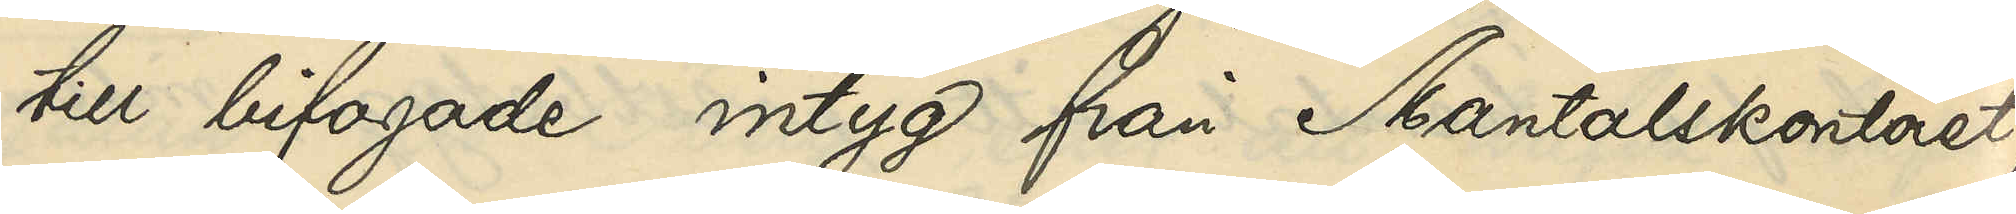till bifogade intyg från Mantalskontoret,
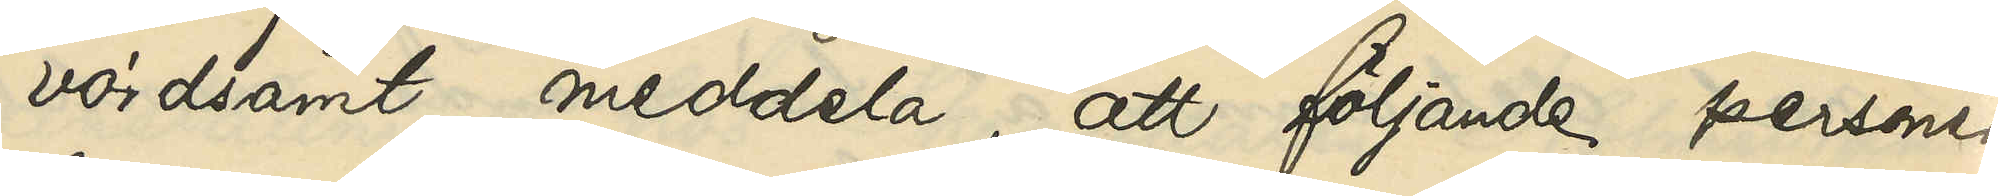vördsamt meddela, att följande personer,
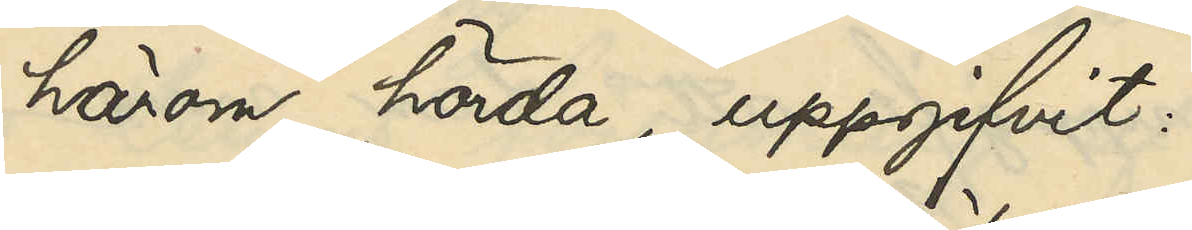härom hörda, uppgifvit:
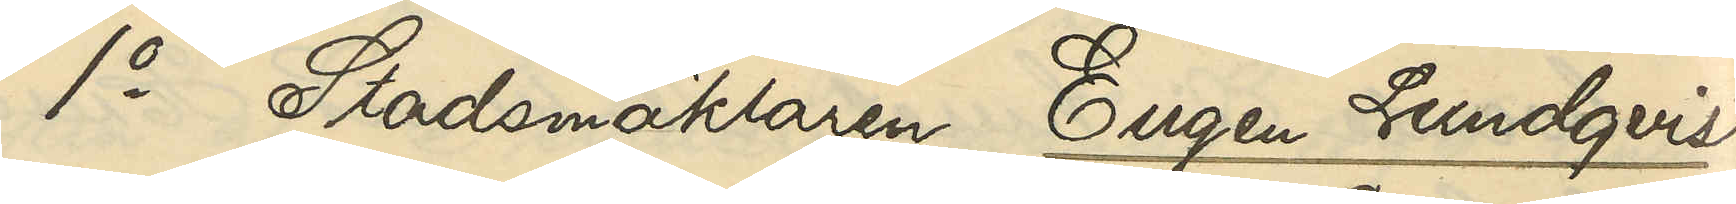1o Stadsmäklaren Eugen Lundqvist,
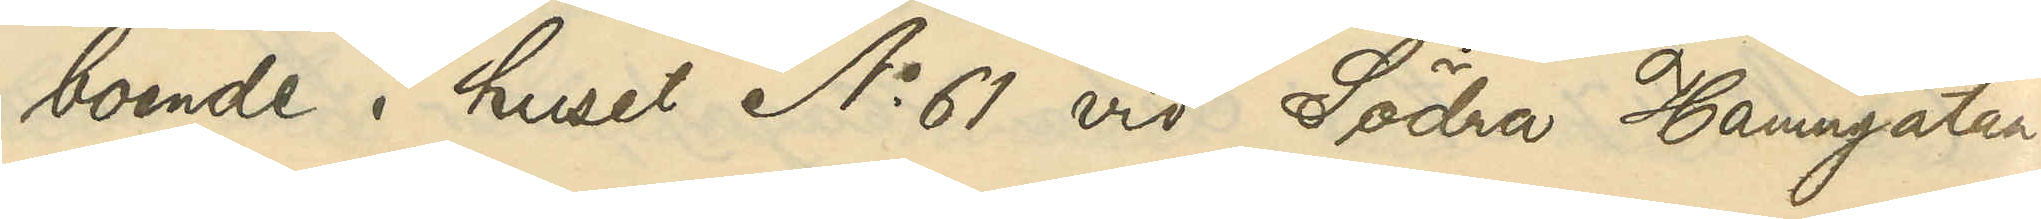boende i huset No 61 vid Södra Hamngatan:
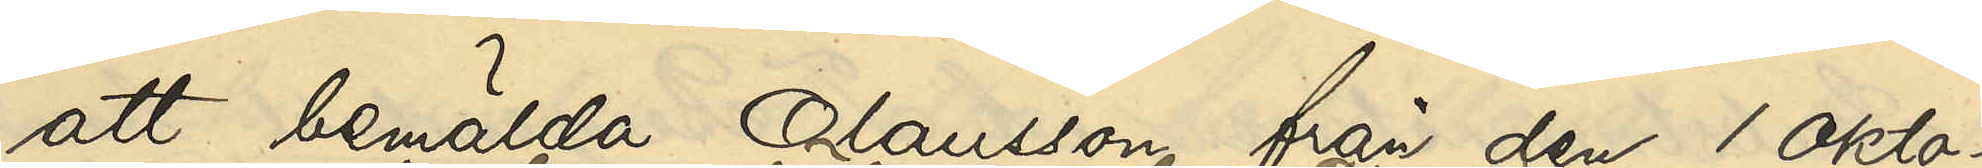att bemälda Olausson från den 1 Okto¬
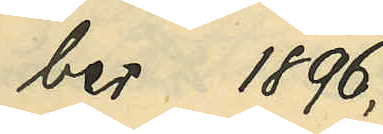ber 1896,
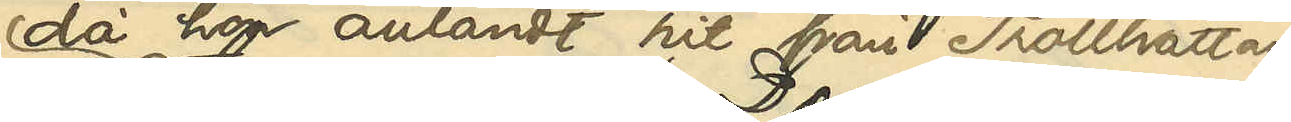då hon anländt hit från Trollhättan,
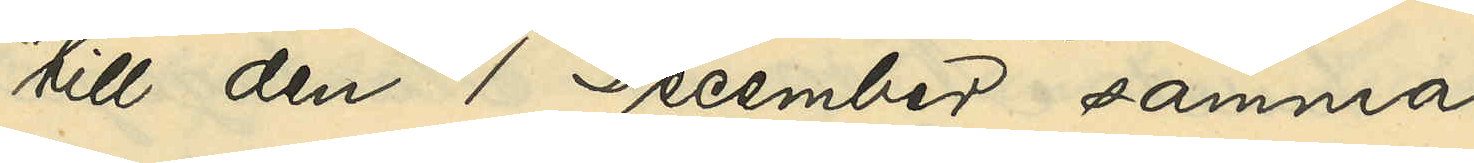till den 1 December samma
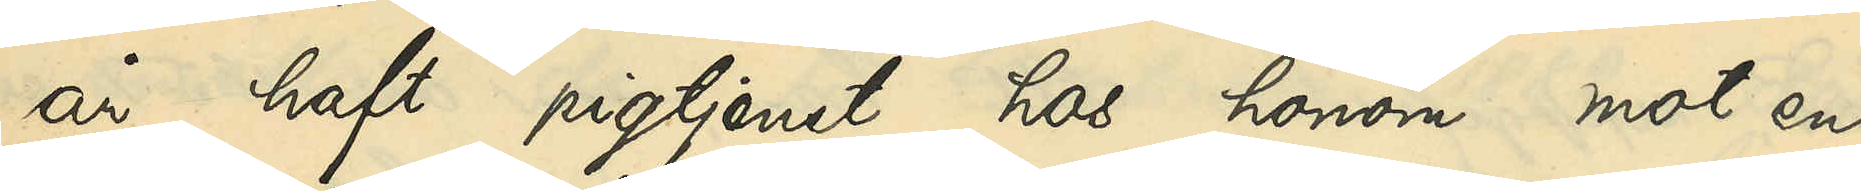år haft pigtjenst hos honom mot en
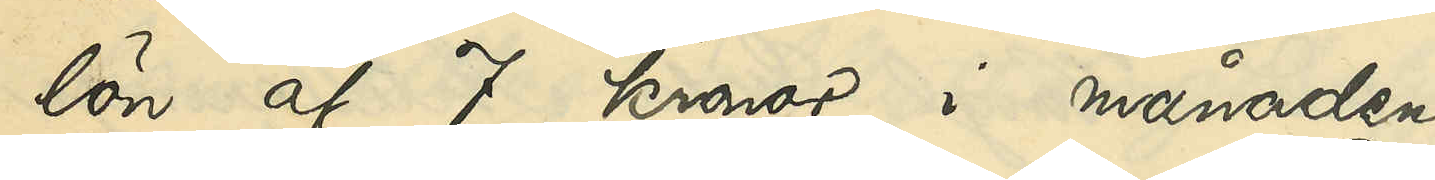lön af 7 kronor i månaden;
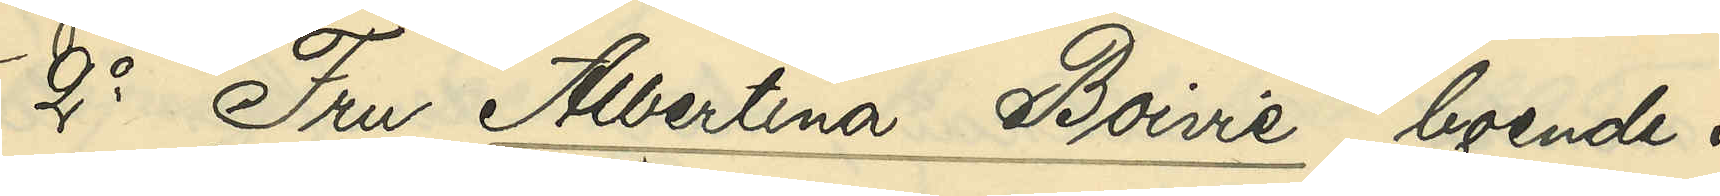2o Fru Albertina Boivie, boende i 
